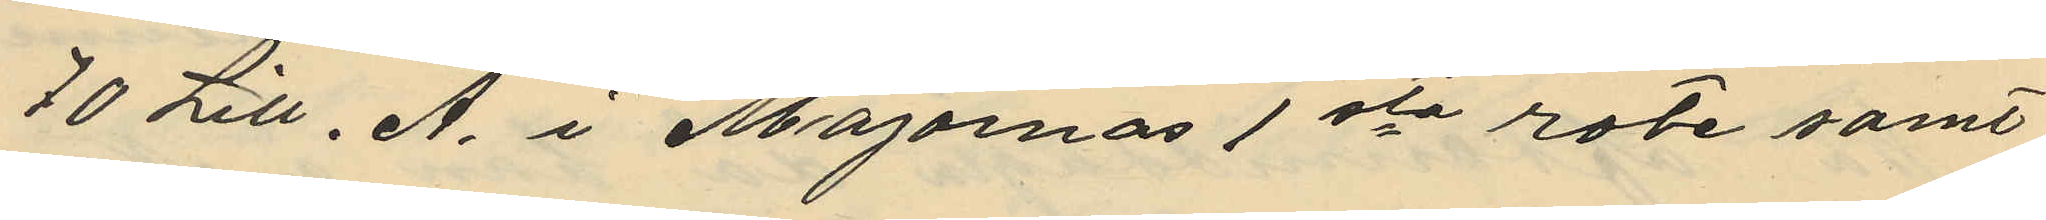70 Litt. A. i Majornas 1sta rote samt
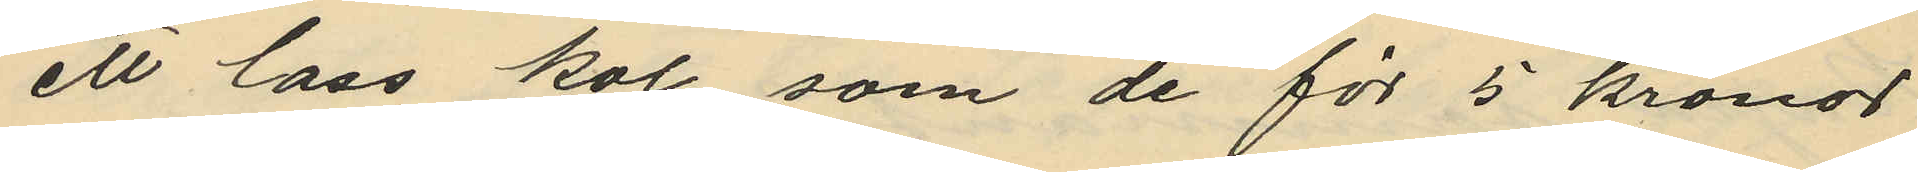ett lass kol, som de för 5 kronor
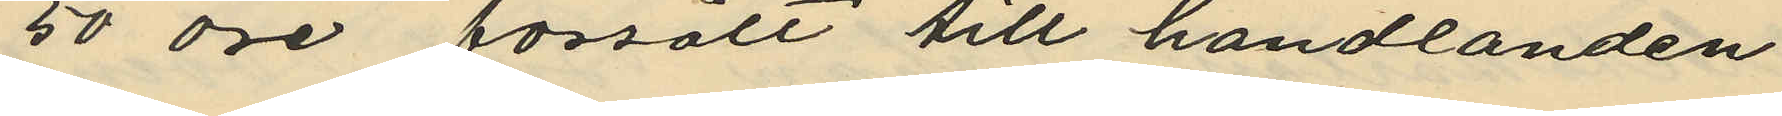50 öre försålt till handlanden
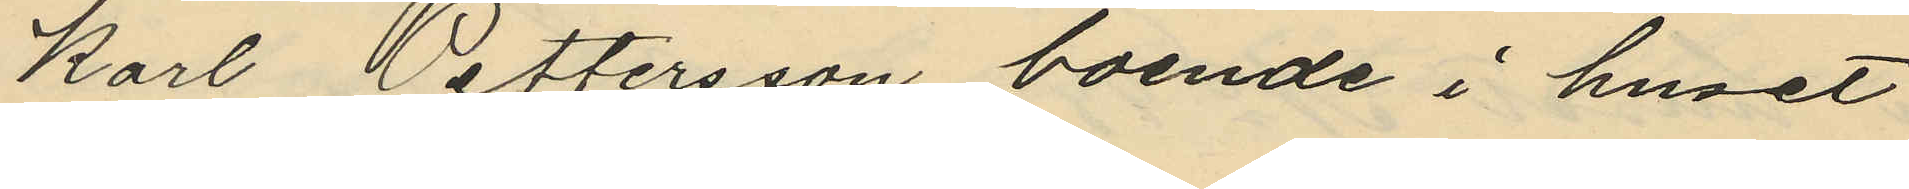Karl Pettersson boende i huset
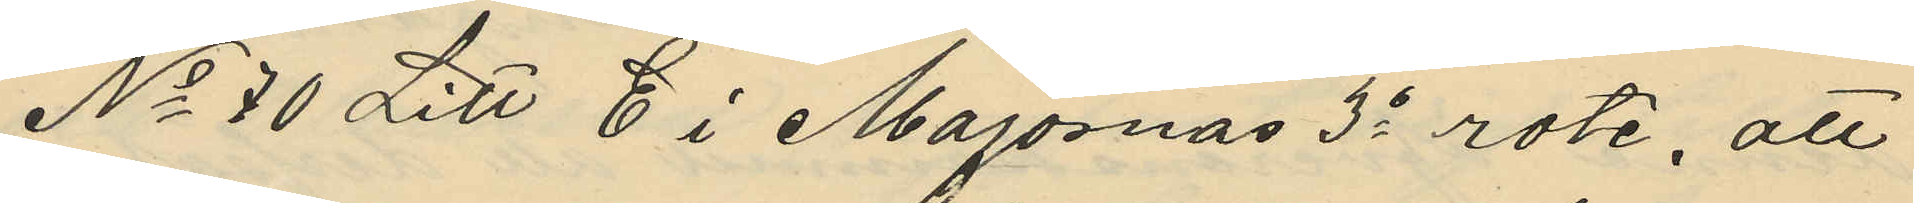No 70 Litt E i Majornas 3e rote, att
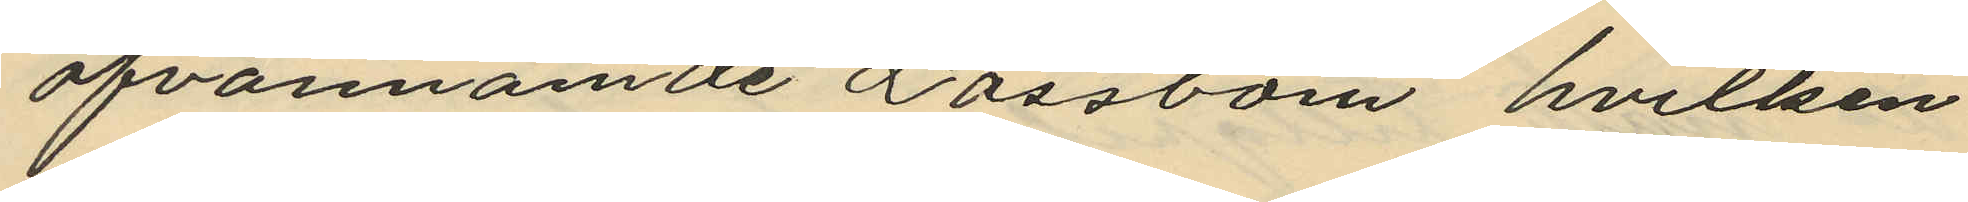ofvannämde Låssbom, hvilken
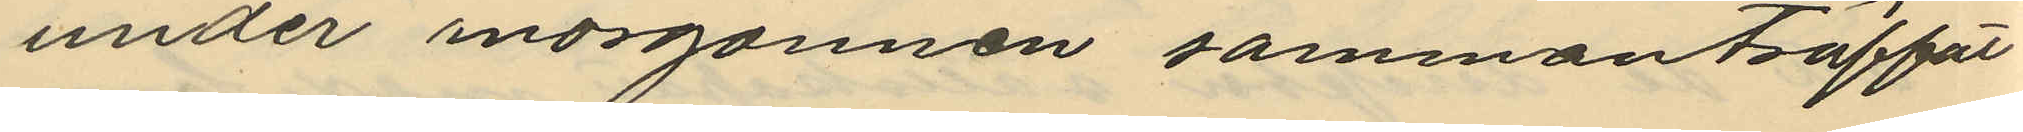under morgonnen sammanträffat
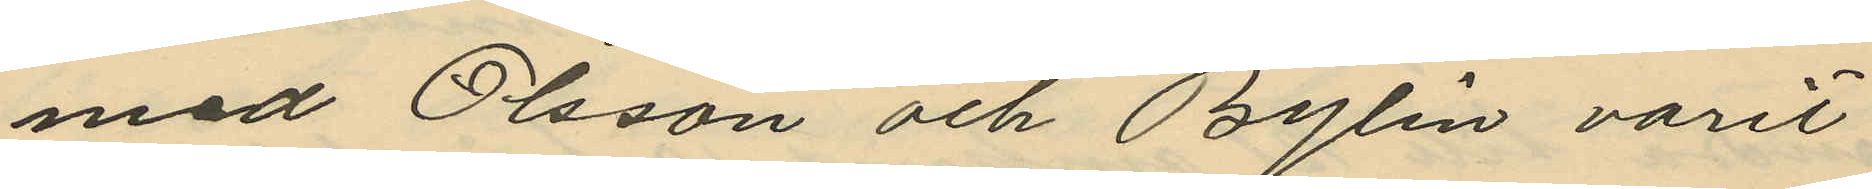med Olsson och Bylin varit
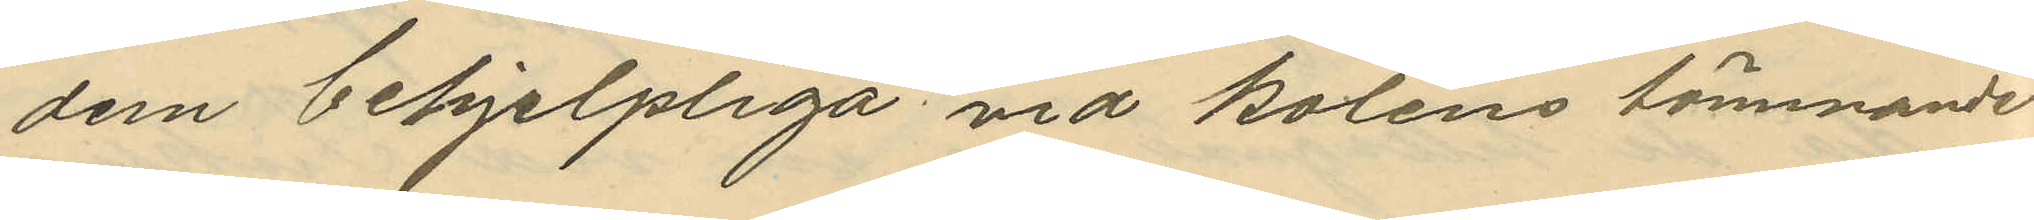dem behjelpliga vid kolens tömmande
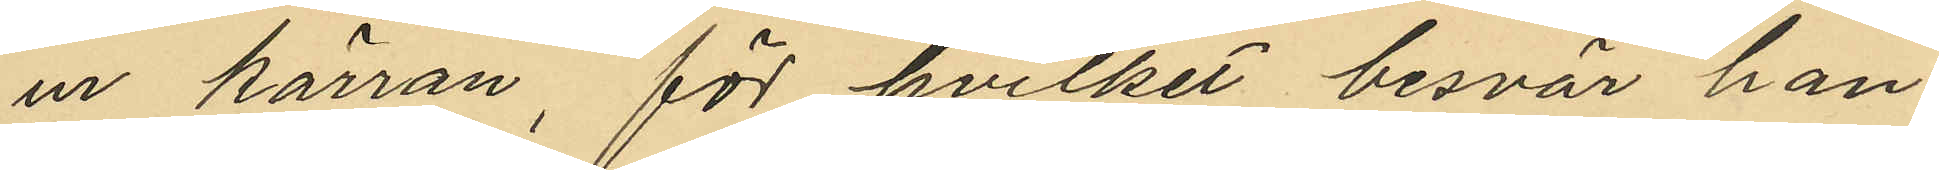ur kärran, för hvilket besvär han
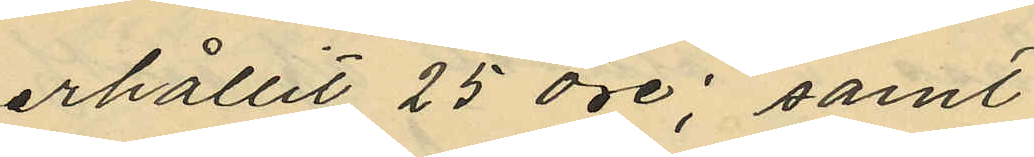erhållit 25 öre; samt
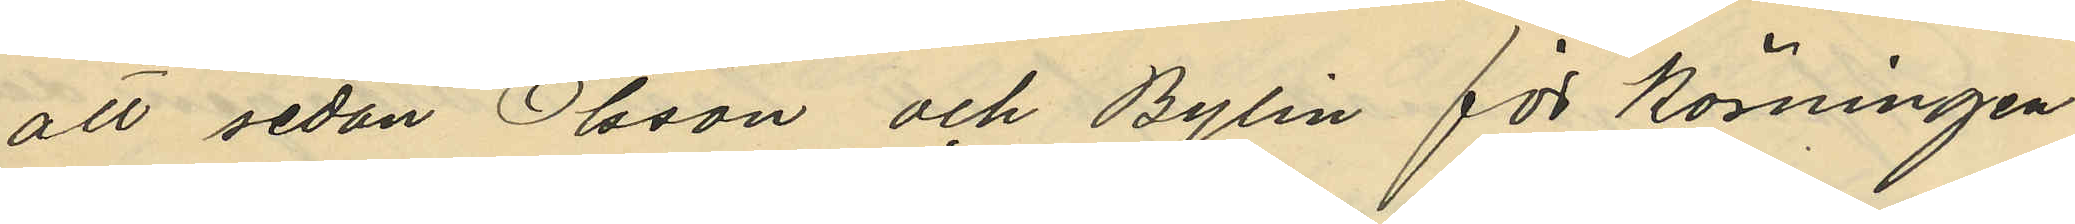att sedan Olsson och Bylin för Körningen
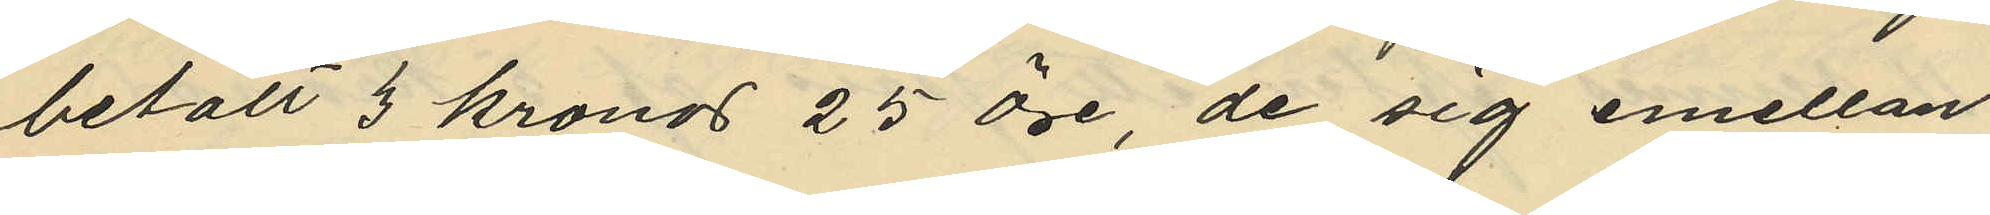betalt 3 kronor 25 öre, de sig emellan
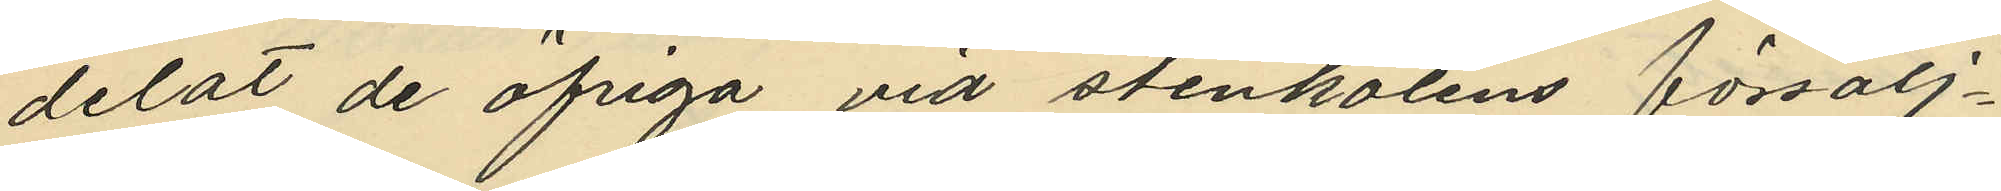delat de öfriga vid stenkolens försälj¬
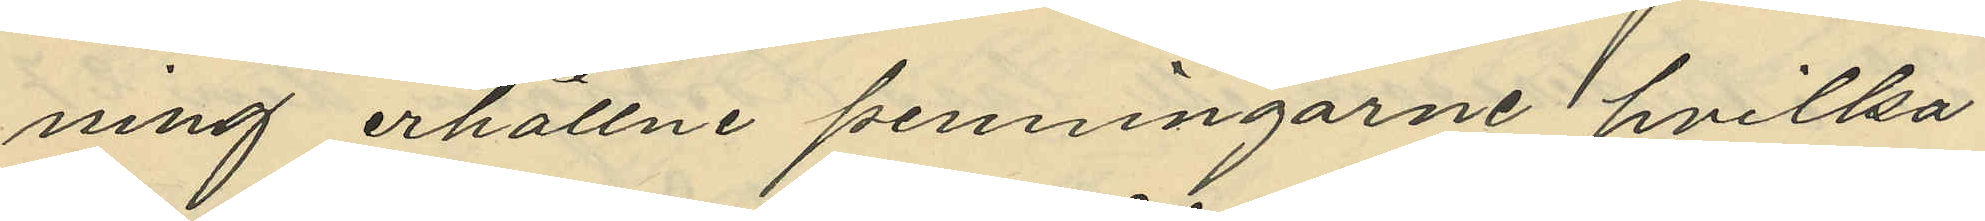ning erhållne penningarne hvilka
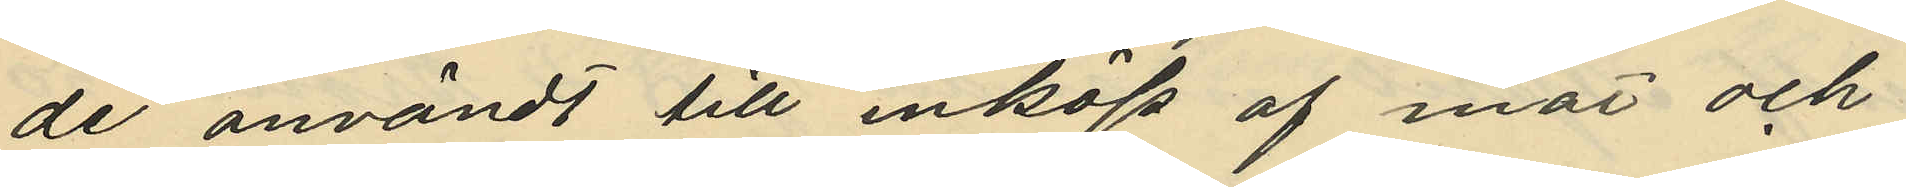de användt till inköp af mat och
